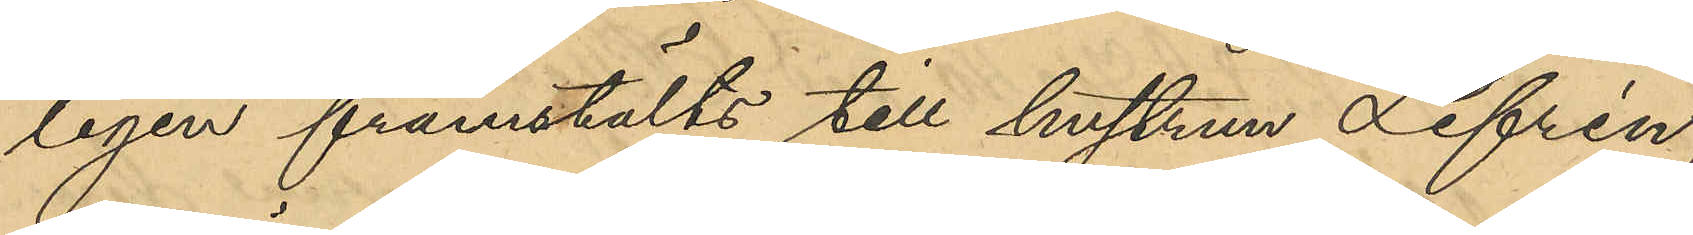ligen framstälts till hustrun Lefrén,
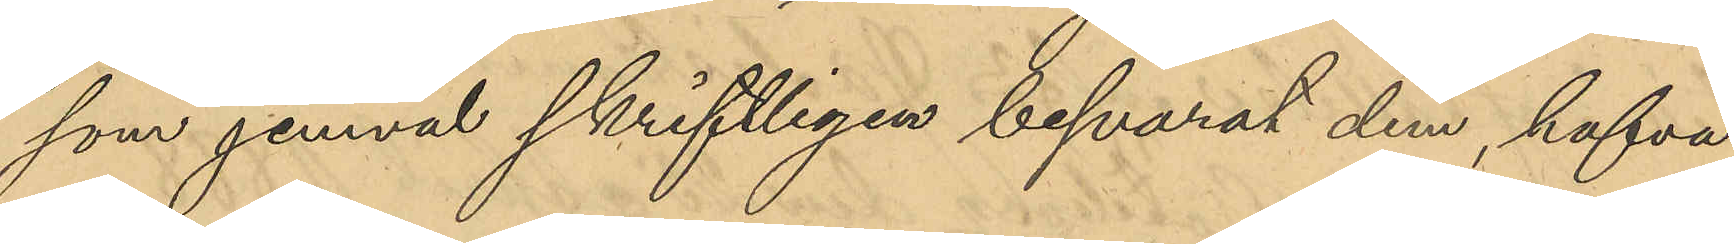som jemväl skriftligen besvarat dem, hafva
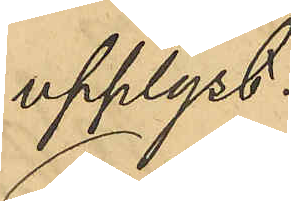upplyst:
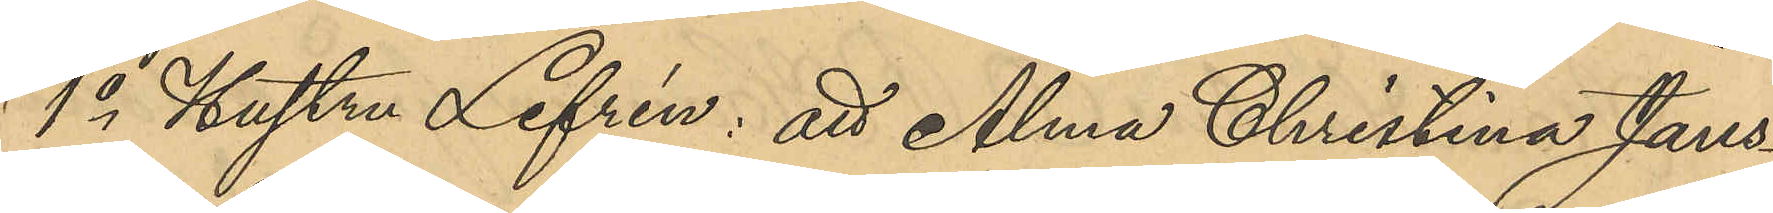1o Hustru Lefrén: att Alma Christina Jans¬
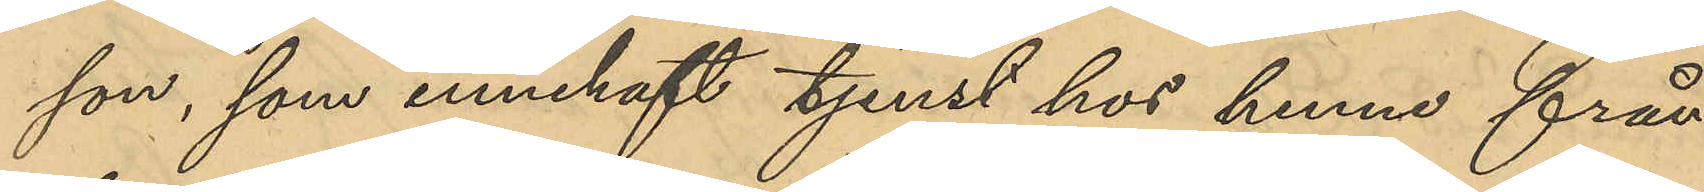son innehaft tjenst hos henne från
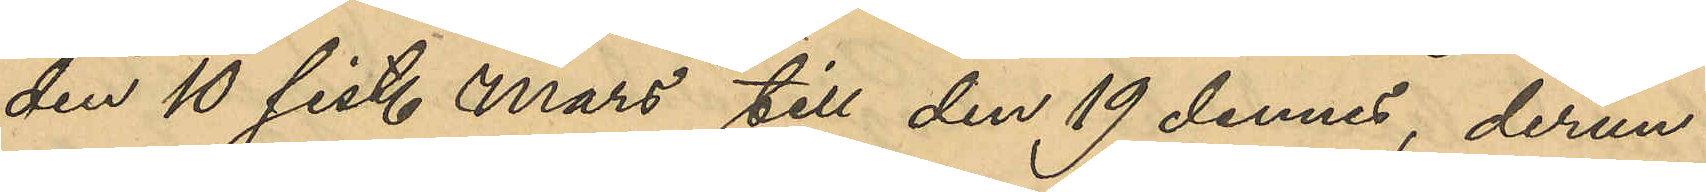den 10 sist. mars till den 19 dennes, derun¬
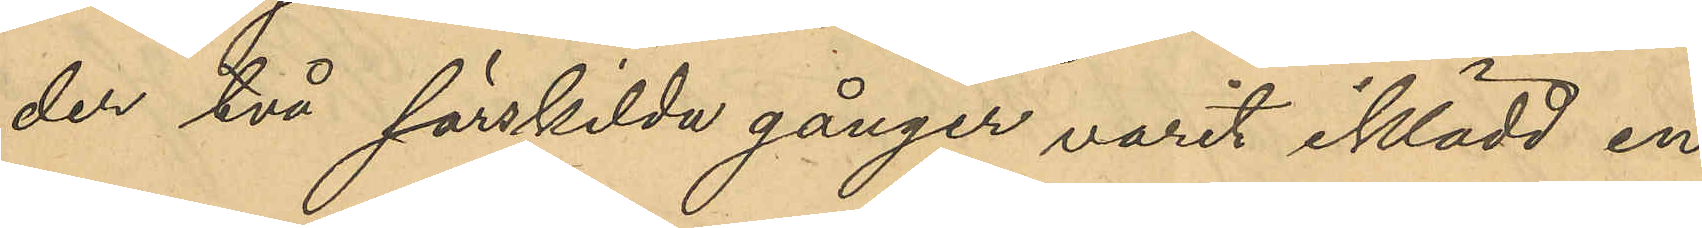der två särskilda gånger varit iklädd en
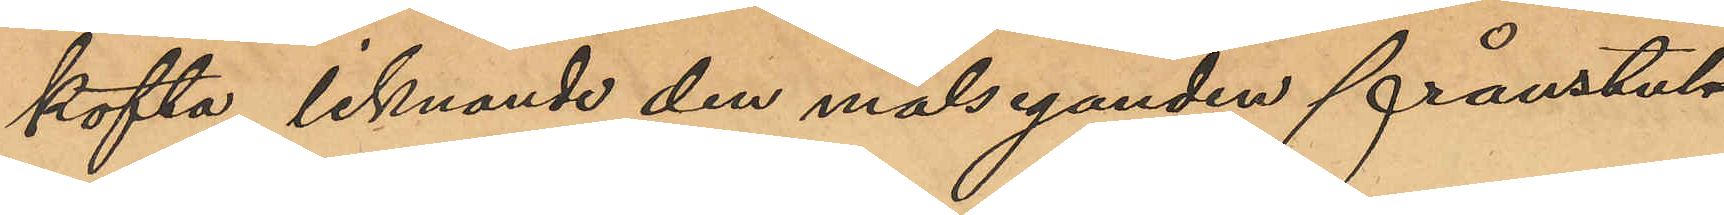kofta, liknande den målseganden frånstul¬
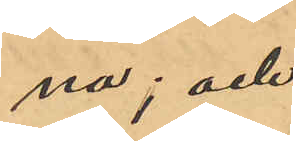na; och
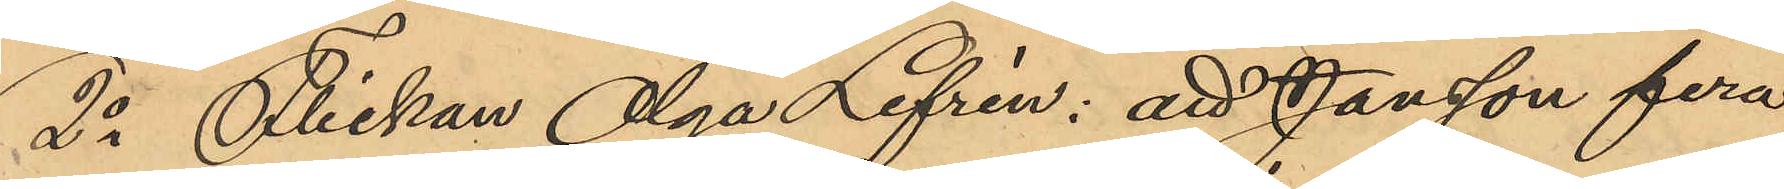2o Flickan Olga Lefrén: att Jansson flera
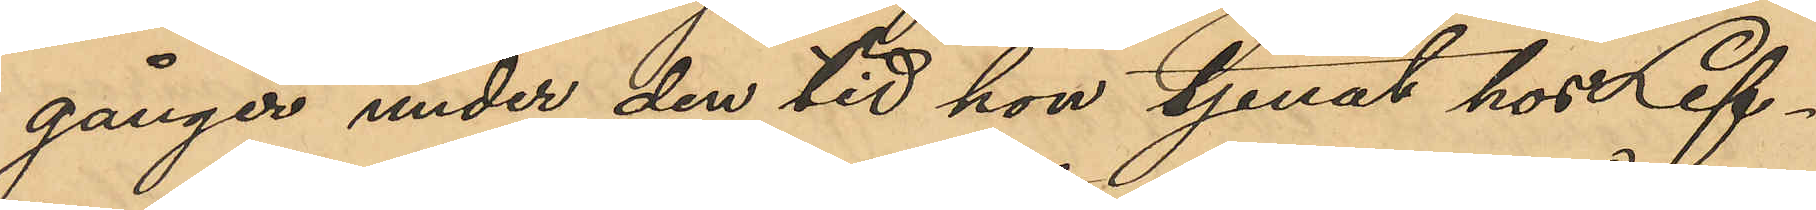gånger under den tid hon tjenat hos Lef¬
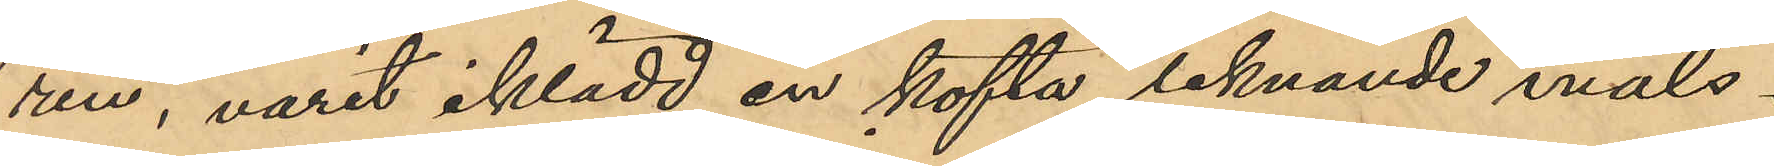ren, varit iklädd en kofta liknande måls¬
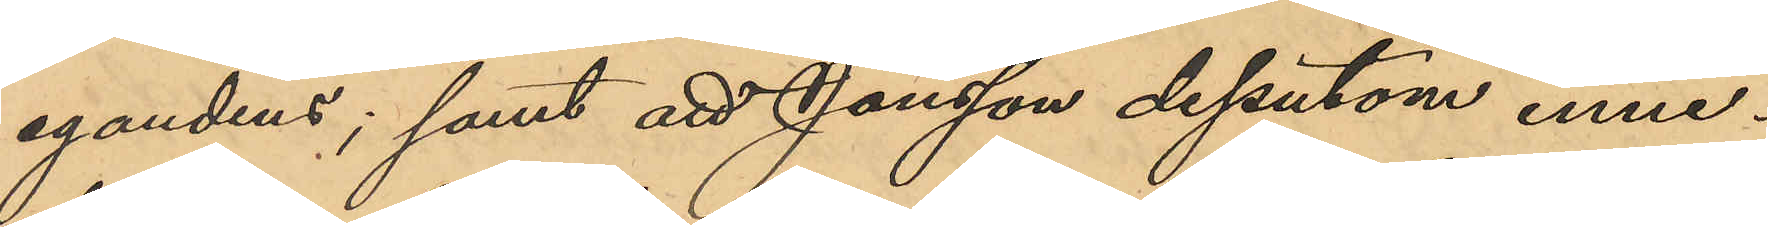egandens; samt att Jansson dessutom inne¬
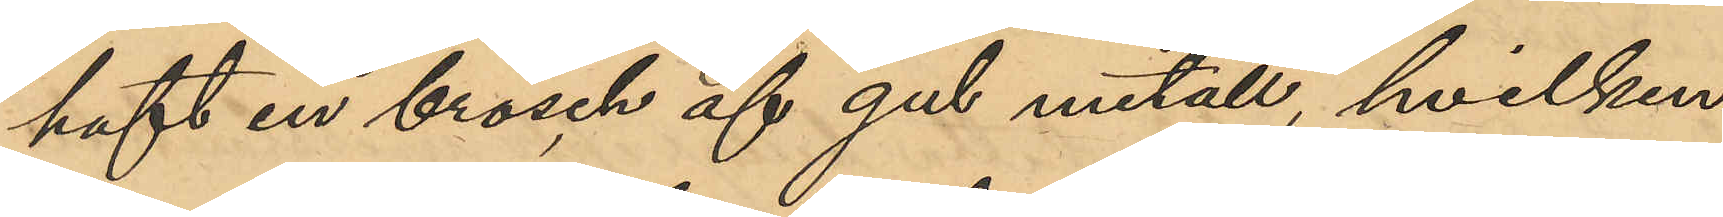haft en brosch af gul metall, hvilken
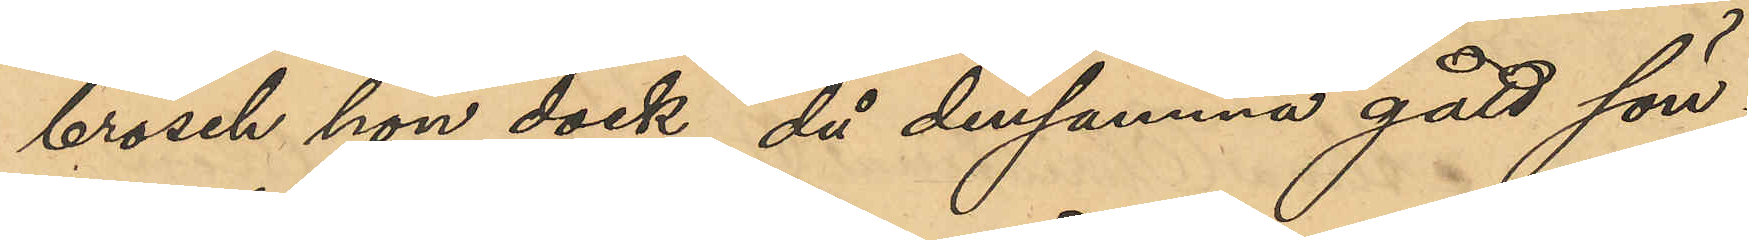brosch hon dock, då densamma gått sön¬
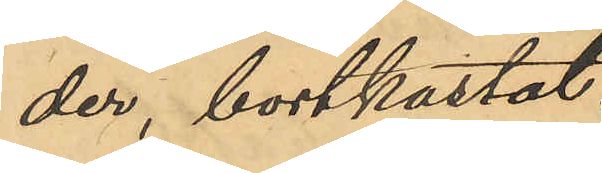der bortkastat.
